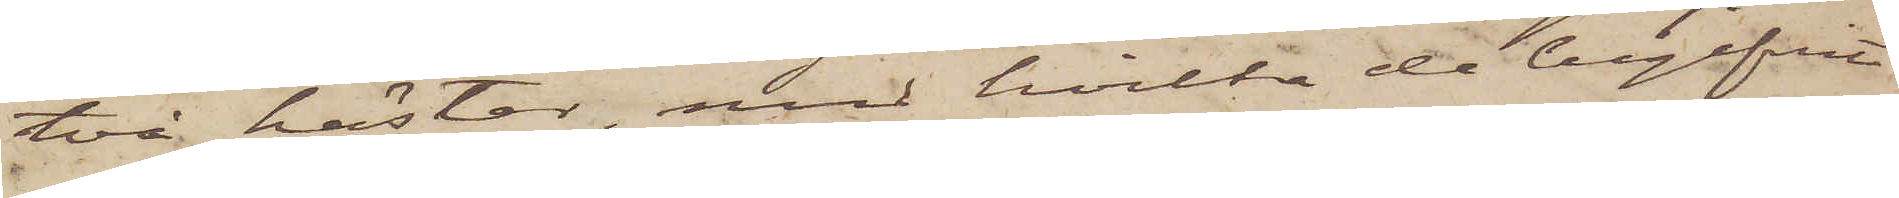två hästar, med hvilka de begifvit
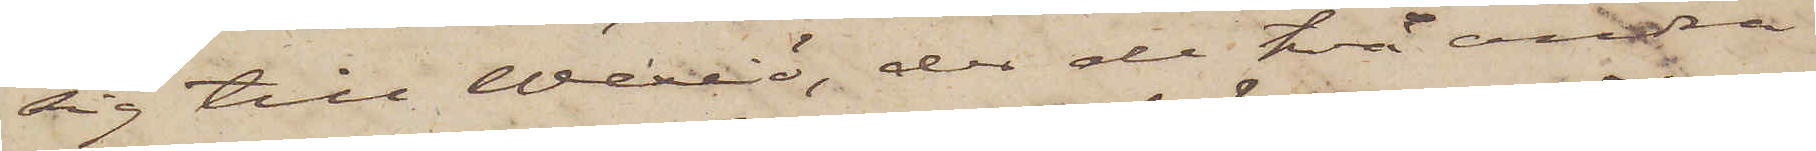sig till Wexiö, der de två andra
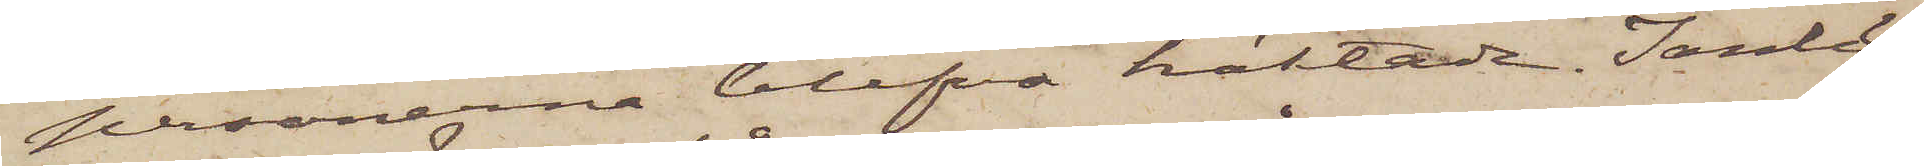personerna blefvo häktade. I anled¬
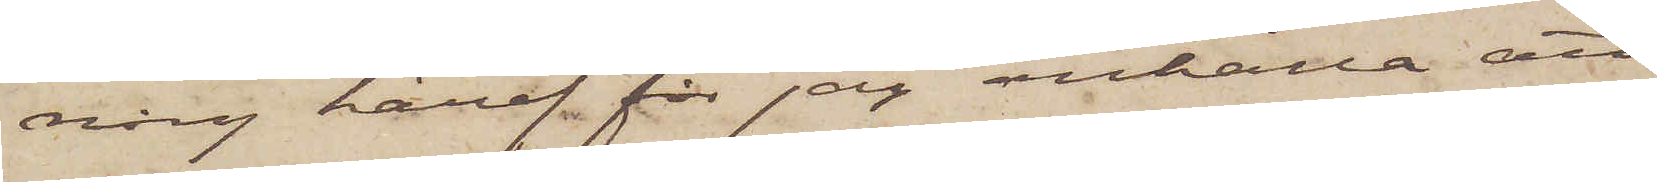ning häraf får jag anhålla att
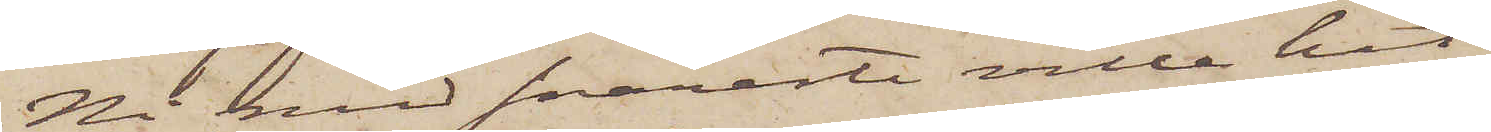Ni med snaraste ville hit
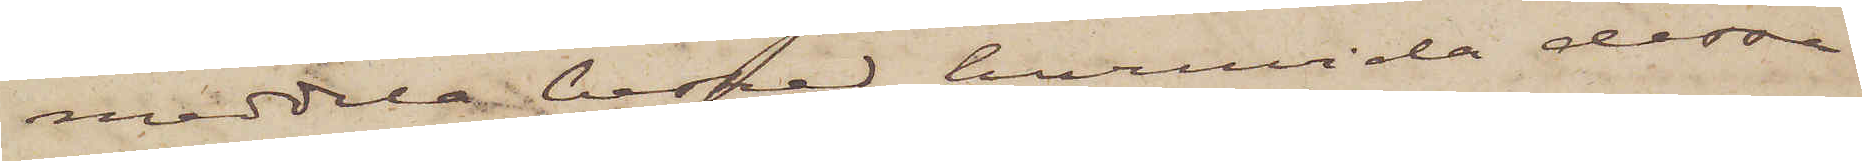meddela besked huruvida dessa
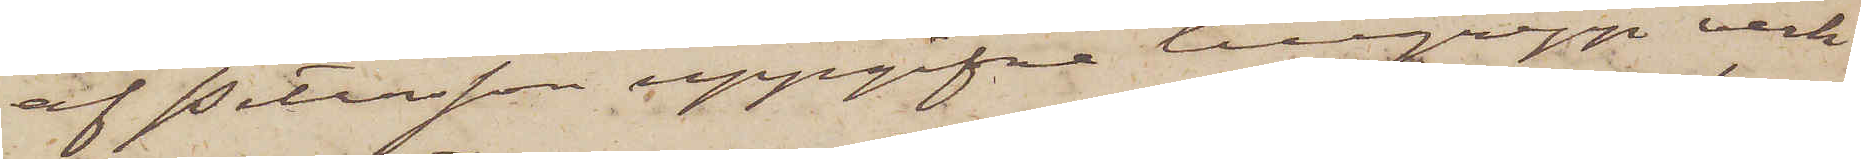af Petersson uppgifna tillgrepp verk¬
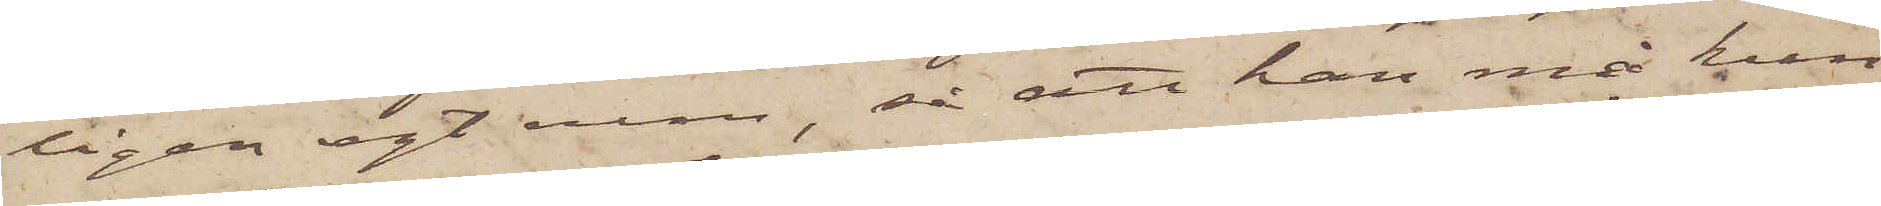ligen egt rum, så att han må kun¬
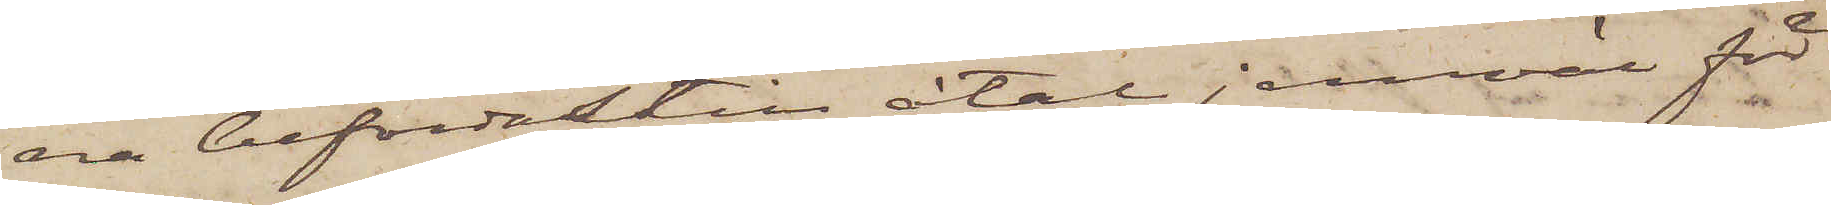na befordas till åtal jemväl för
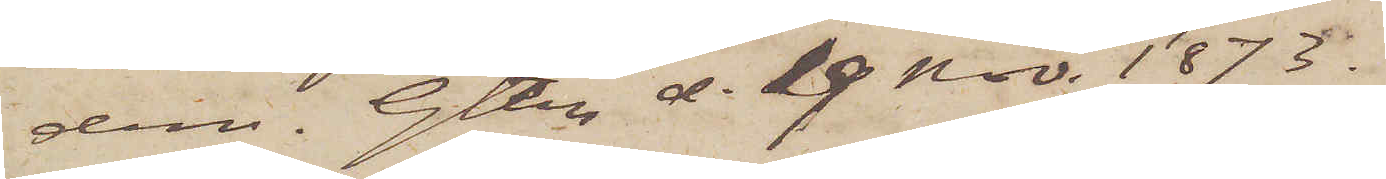dem. Gtbg d. 19 Nov. 1873.
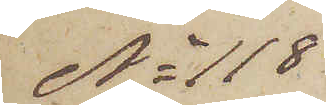No 118
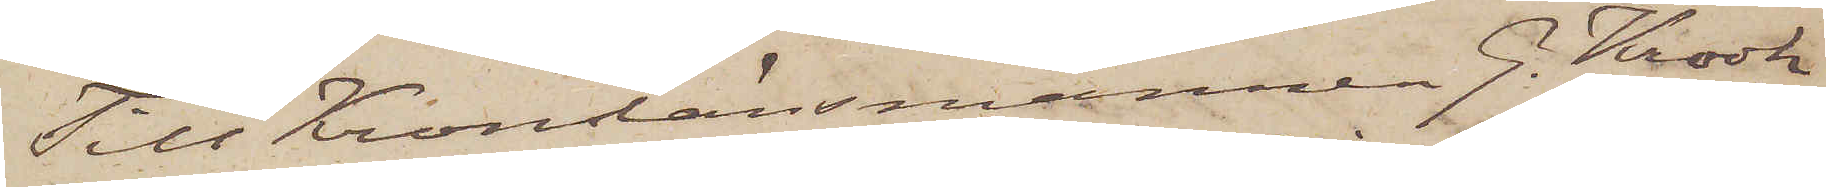Till Kronolänsmannen G. Krook
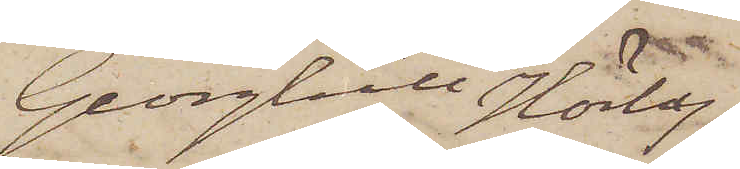Georghill Hörby.
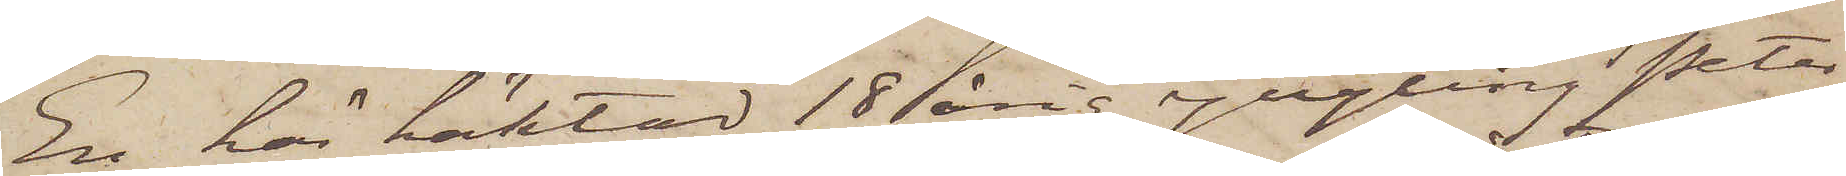En här häktad 18årig yngling Peter
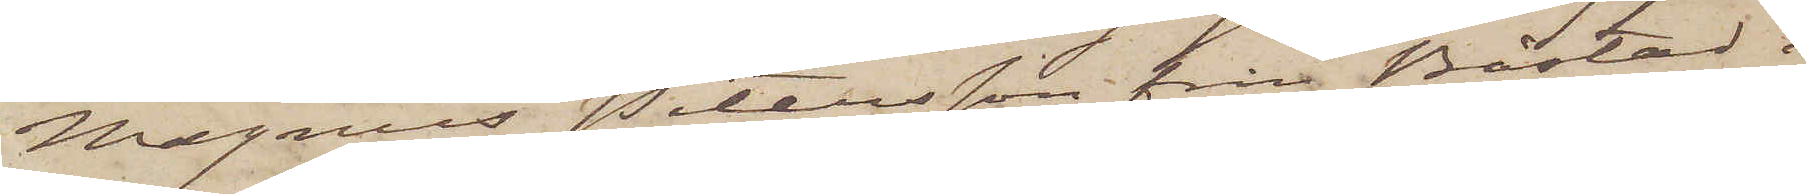Magnus Petersson från Båstad i
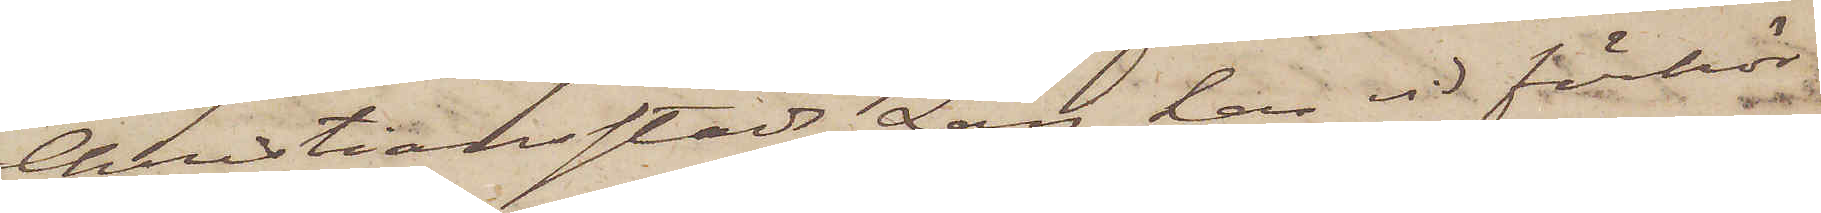Christiansstads Län har vid förhör
